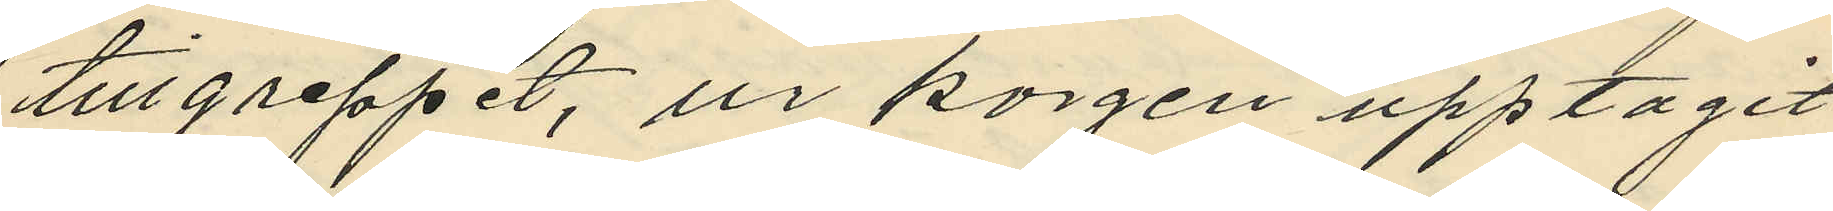tillgreppet, ur korgen upptagit
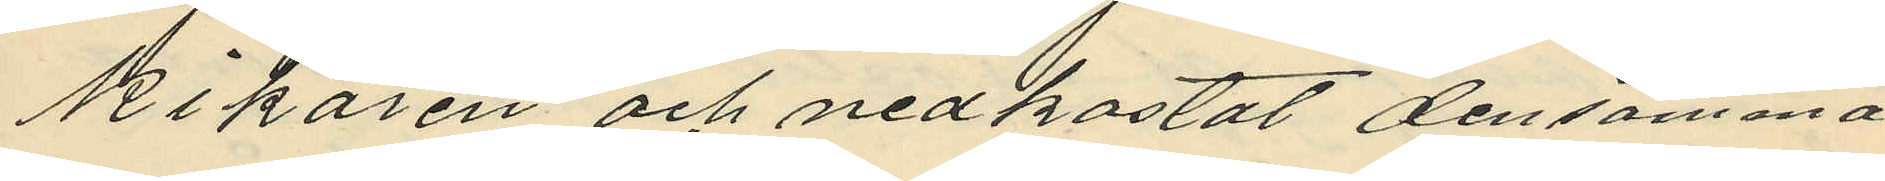kikaren och nedkastat densamma
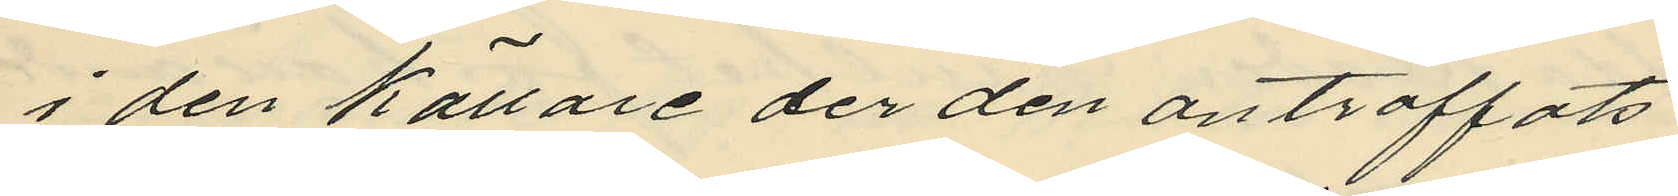i den källare der den anträffats.
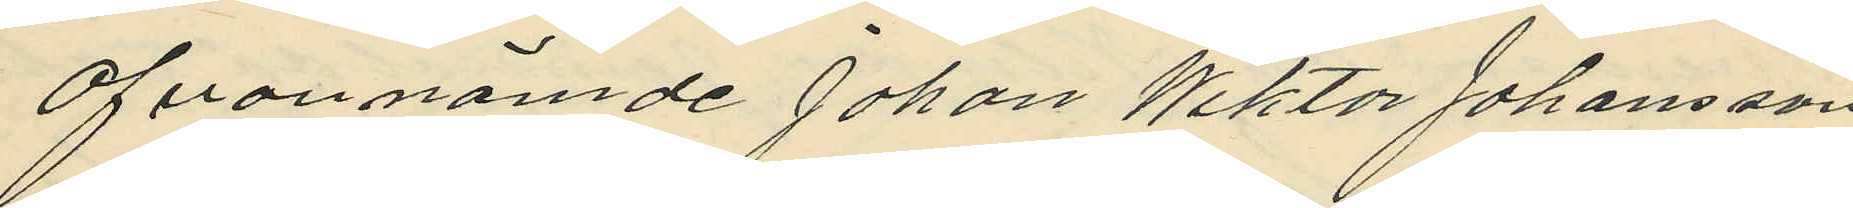Ofvannämde Johan Wiktor Johansson
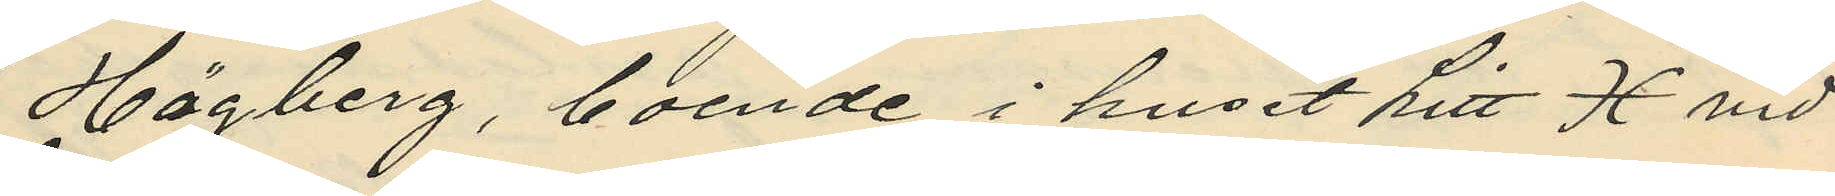Högberg, boende i huset Litt H vid
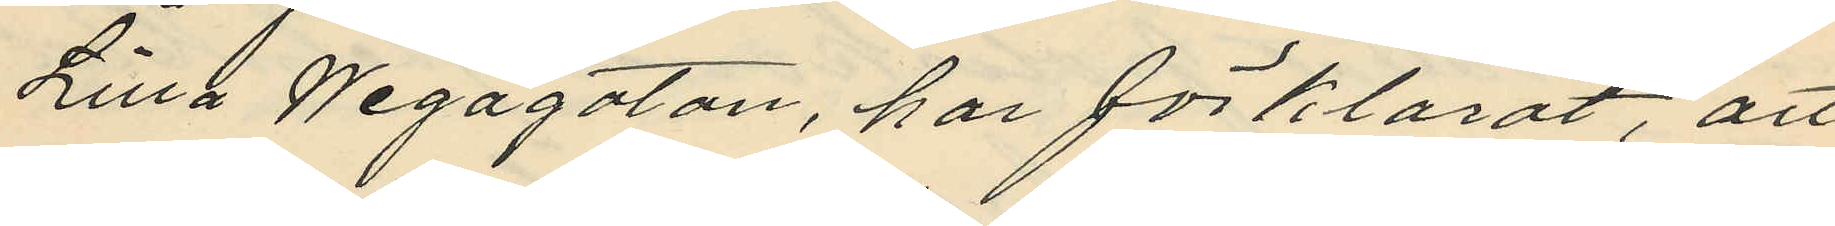Lilla Wegagatan, har förklarat, att
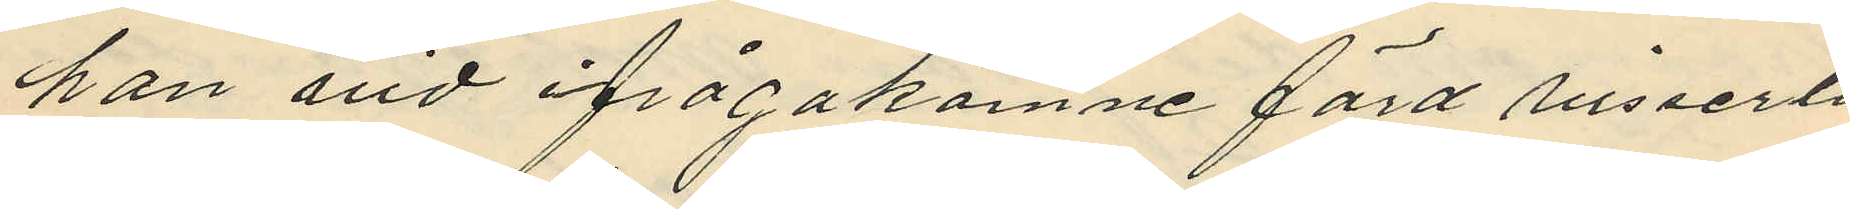han vid ifrågakomne färd visserli
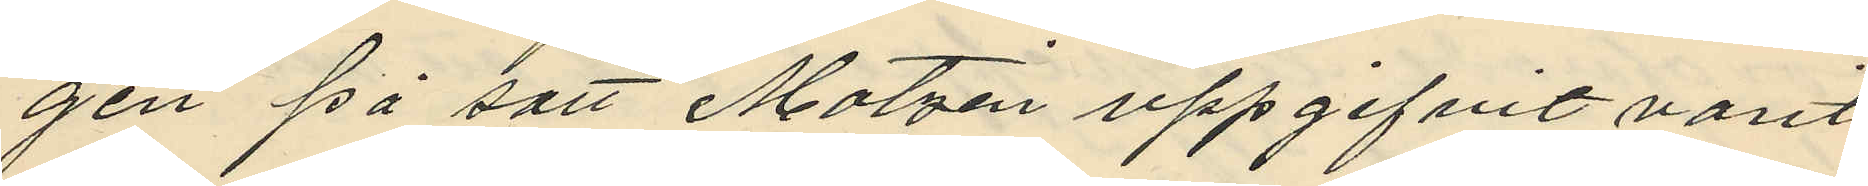gen på sätt Matzén uppgifvit varit
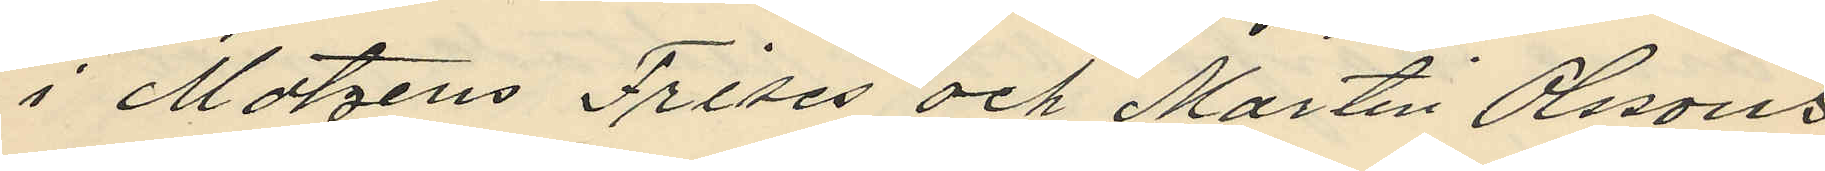i Matzens Frises och Martin Olssons,
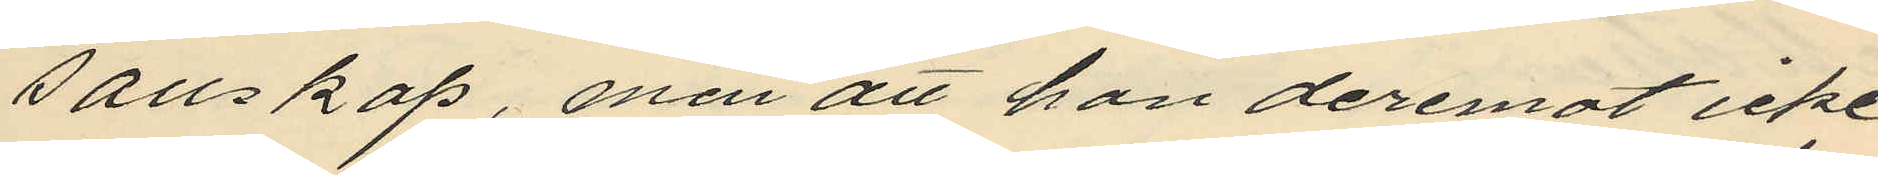sällskap, men att han deremot icke
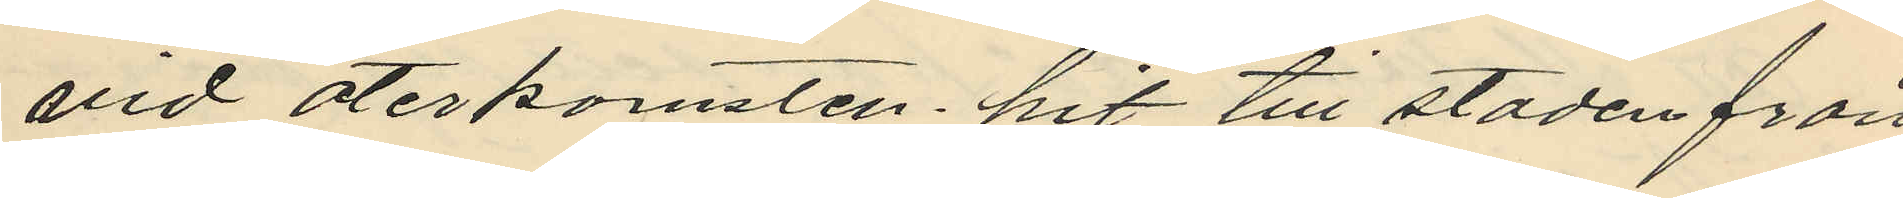vid återkomsten, hit till staden från
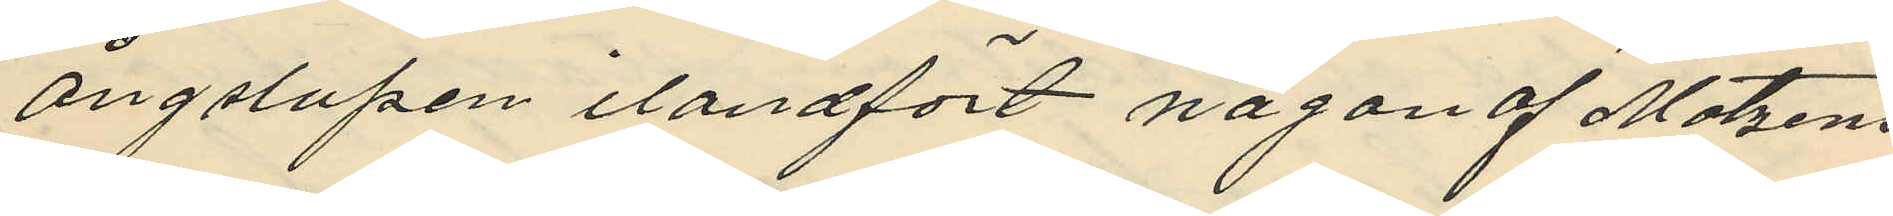ångslupen ilandfört nagon af Matzens
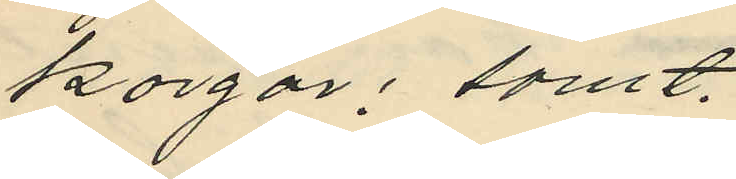korgar; samt,
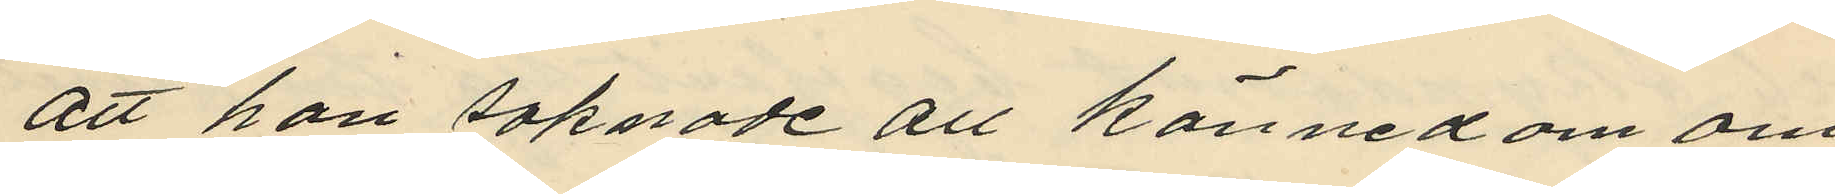att han saknade all kännedom om
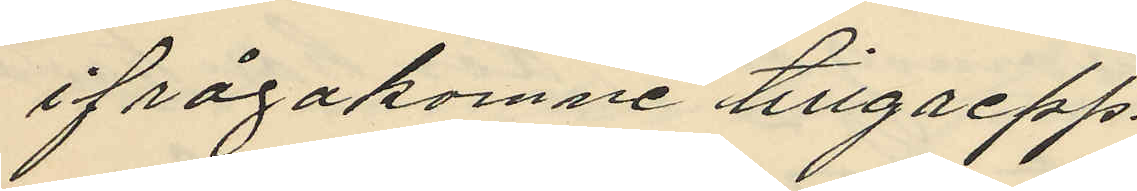ifrågakomne tillgrepp.
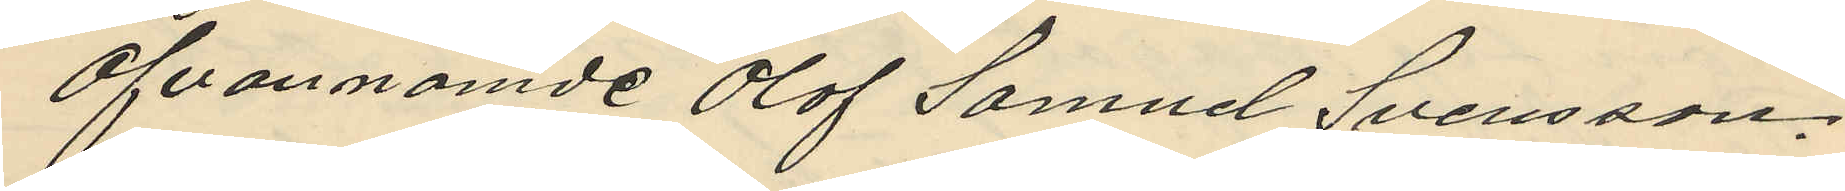Ofvannämde Olof Samuel Svensson,
